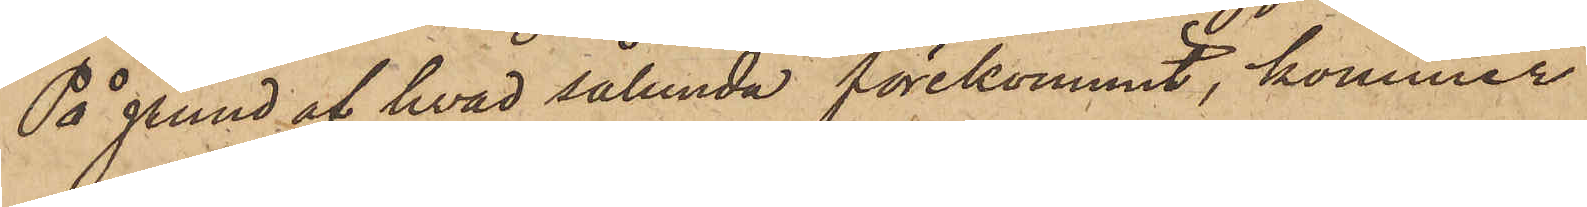På grund af hvad sålunda förekommit, kommer
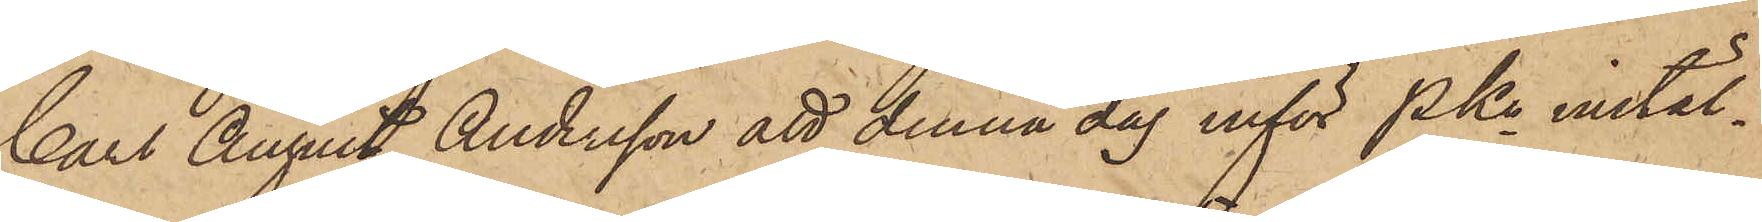Carl August Andersson att denna dag inför PKn instäl¬
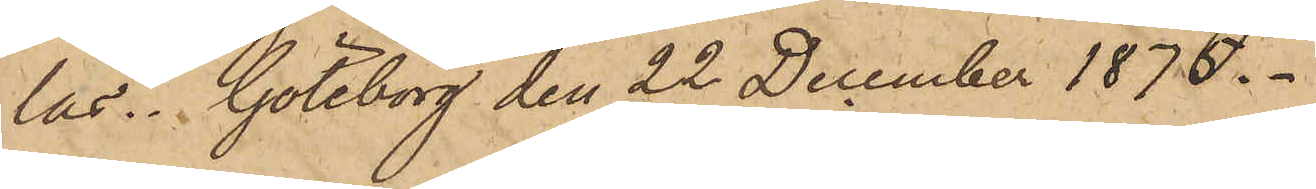las. Göteborg den 22 December 1875.
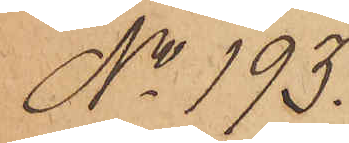No 193.
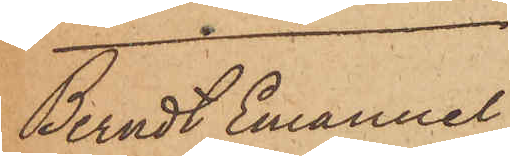Bernt Emanuel
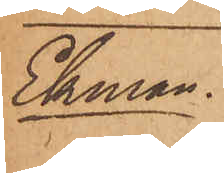Ekman.
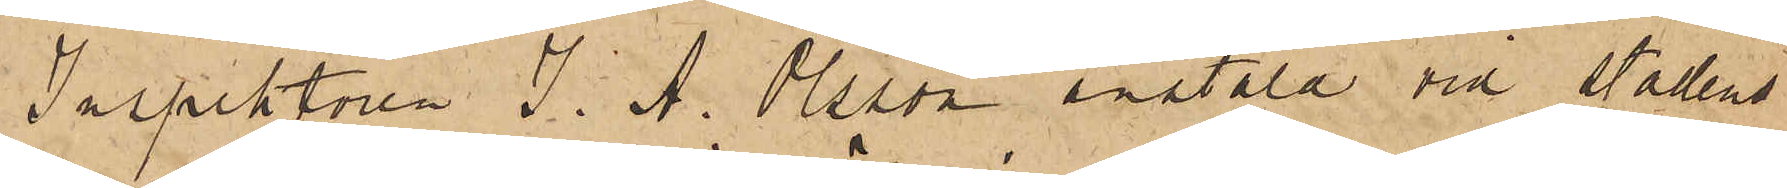Inspektoren J. A. Olsson anstäld vid Stadens
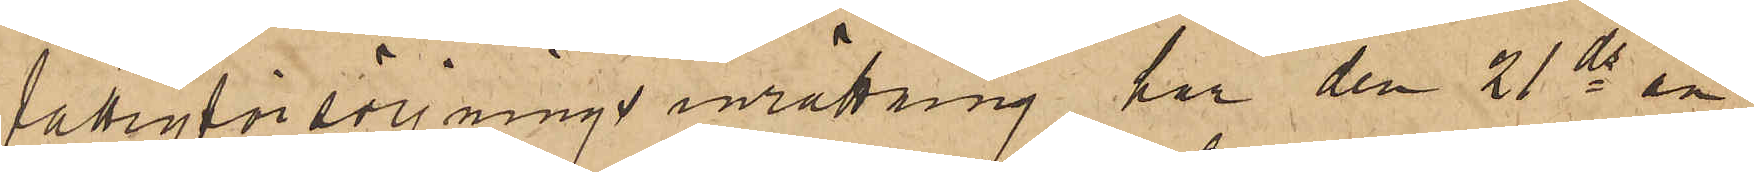fattigförsörjningsinrättning har den 21 ds an¬
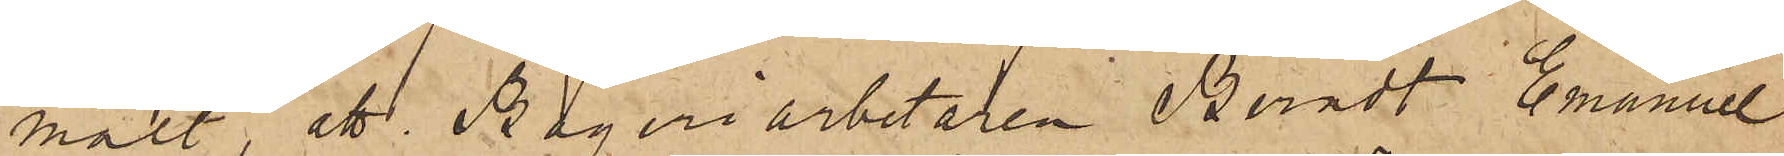mält, att Bageriarbetaren Berndt Emanuel
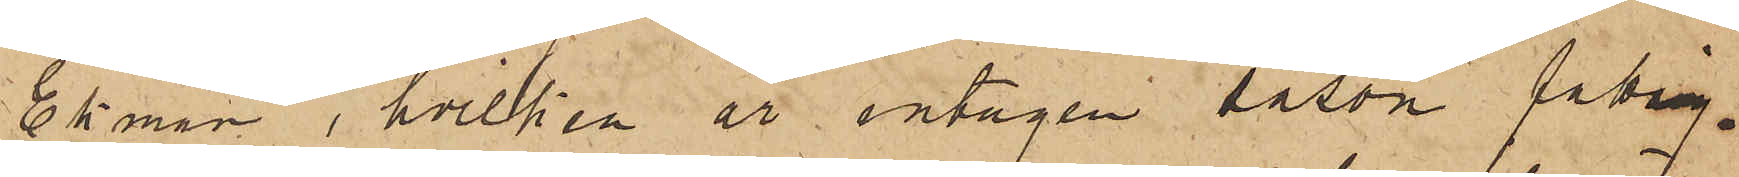Ekman, hvilken är intagen såsom fattig¬
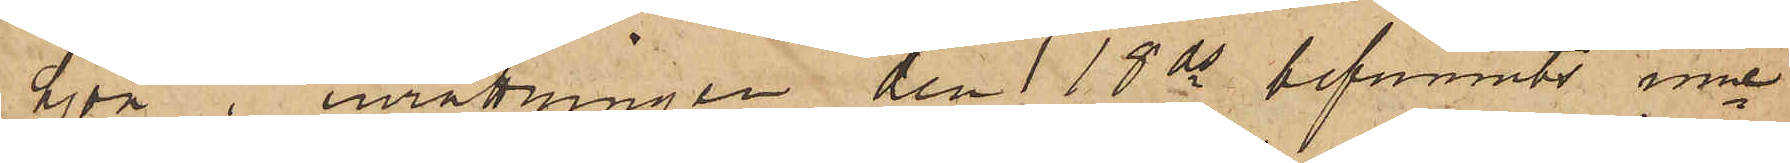hjon i inrättningen den 18 ds befunnits inne¬
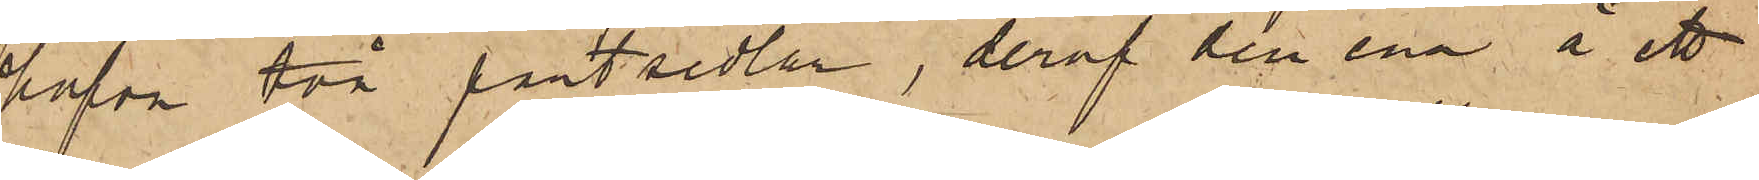hafva två pantsedlar, deraf den ena å ett
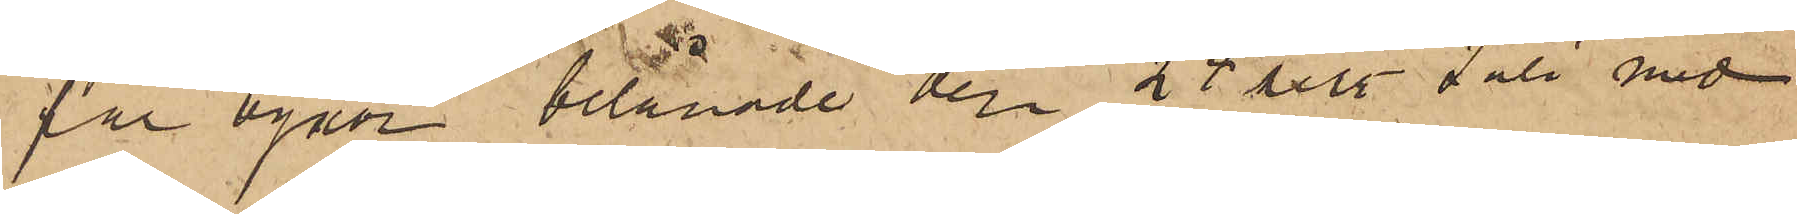par byxor belånade den 25 sist. Juli med
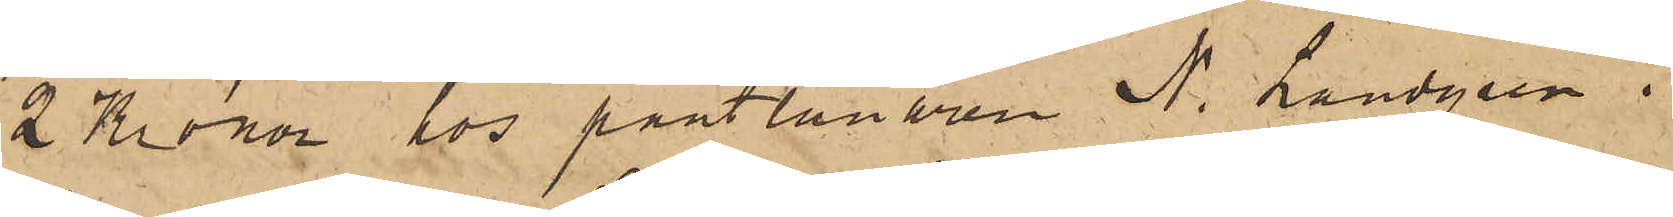2 Kronor hos pantlånaren N. Landgren i
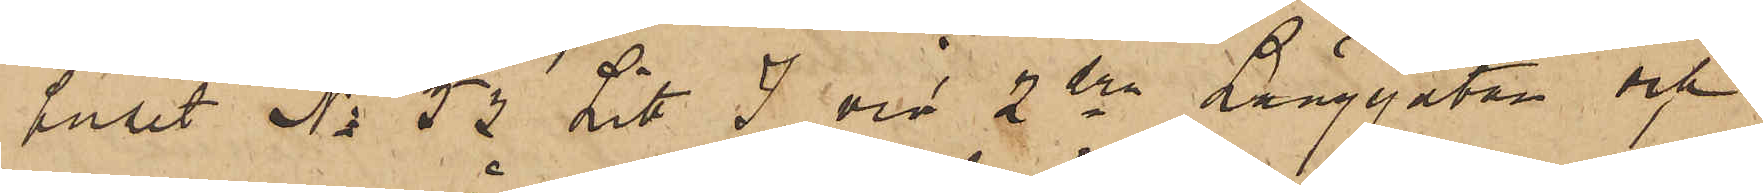huset No 53 Litt. J vid 2dra Långgatan och
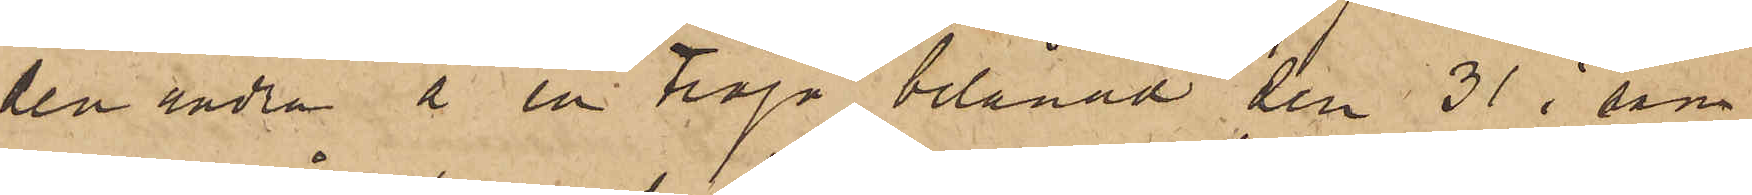den andra å en tröja belånad den 31 i sam¬
